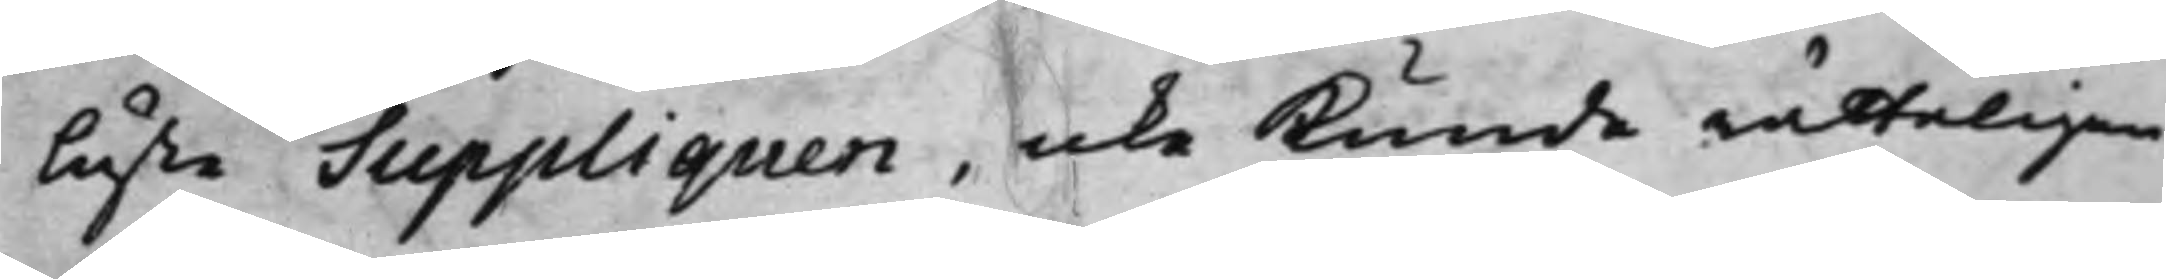läste Suppliquen, icke kunde rätteligen
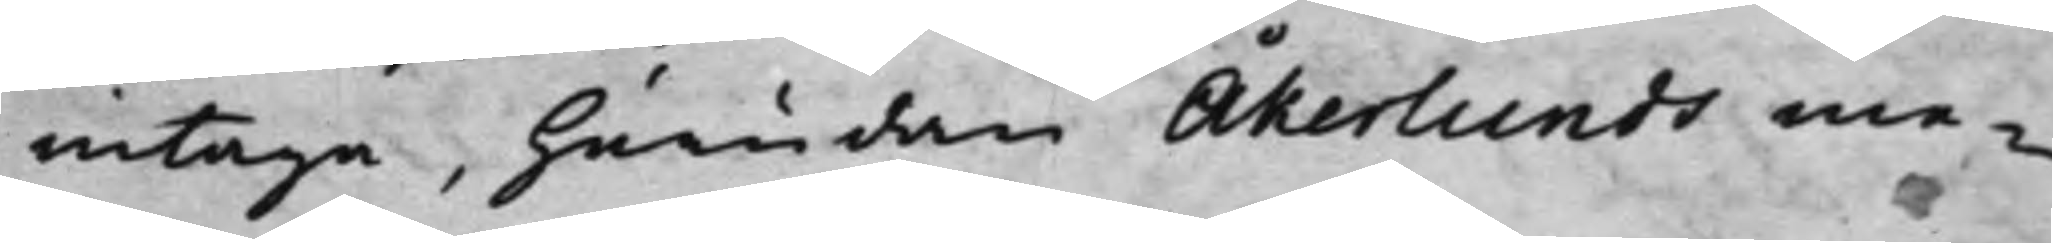intaga, hurudan Åkerlunds me¬
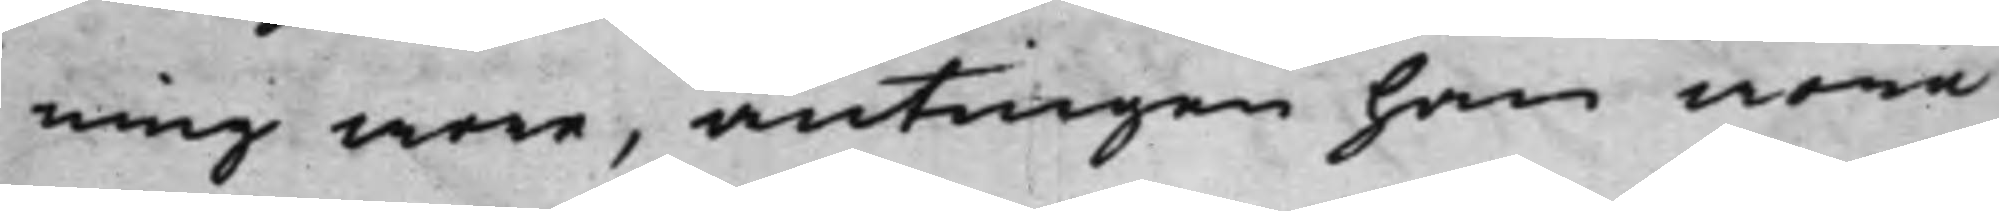ning wore, antingen han wore
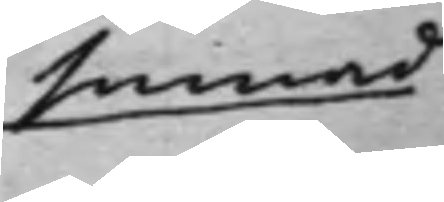sinnad
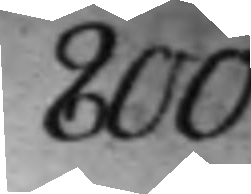800.
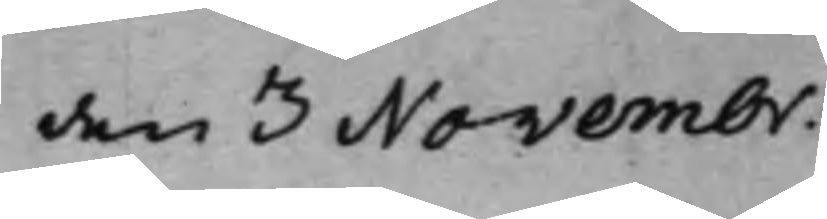den 3 Novembr.
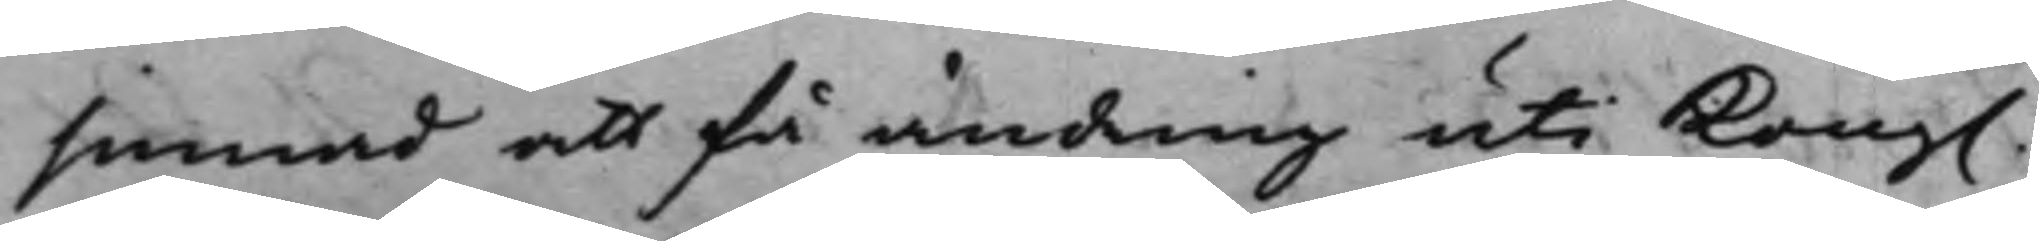sinnad att få ändring uti Kong.
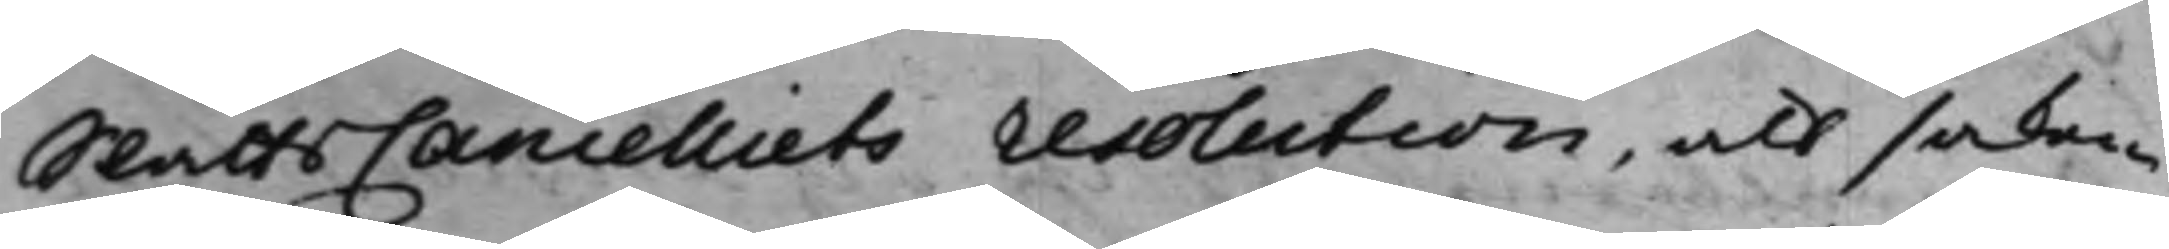SlåttsCancelliets resolution, att saken
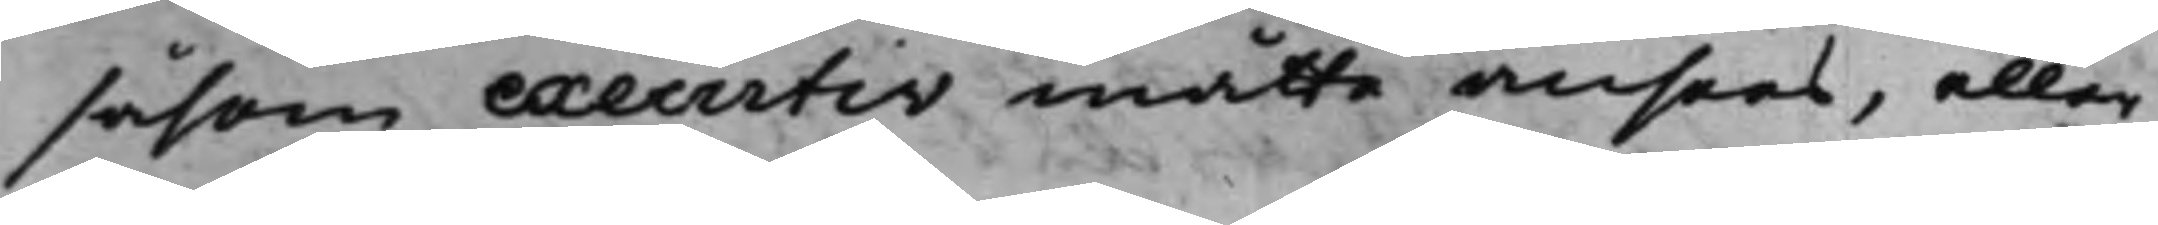såsom executiv måtte ansees, eller
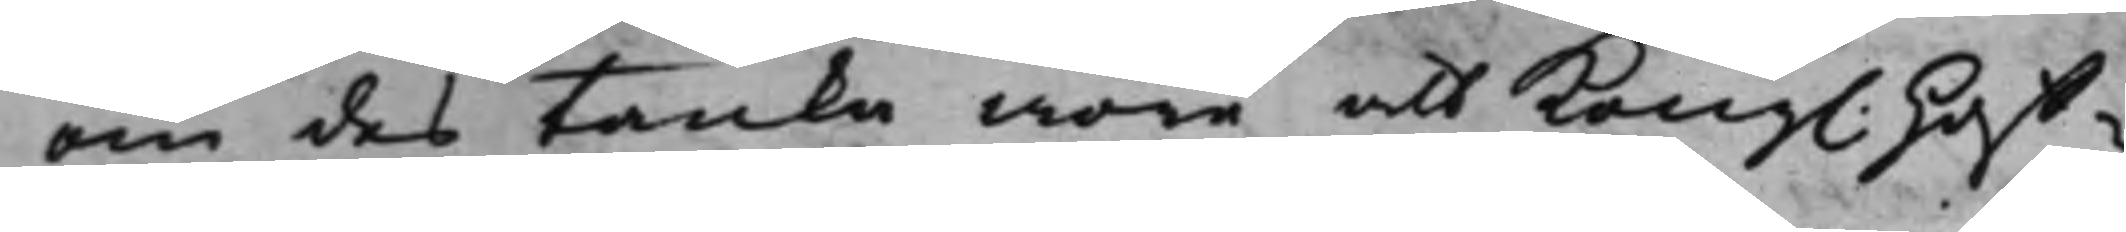om des Tanke wore att Kongl: Hoff¬
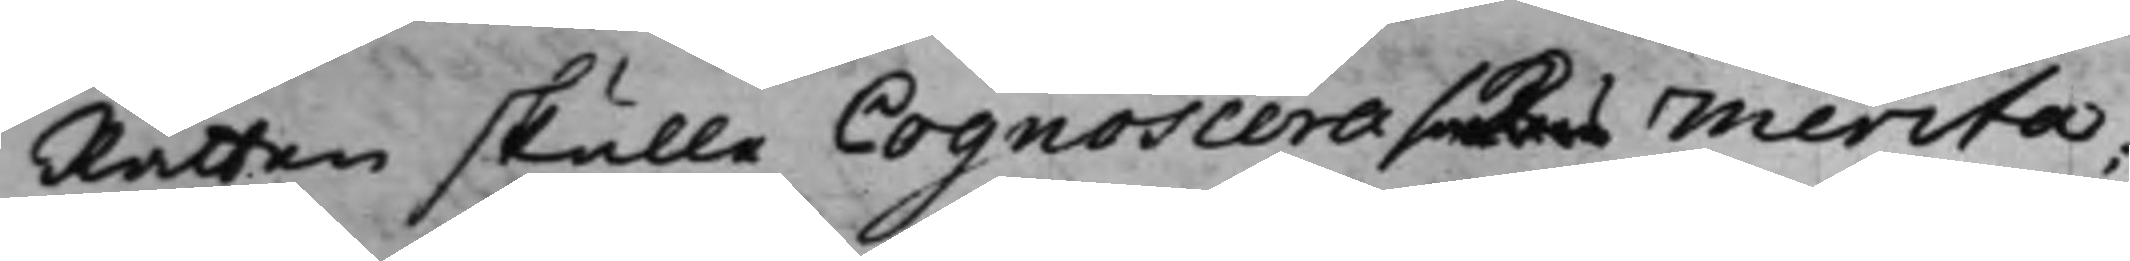Rätten skulle Cognoscera sakens Merita;
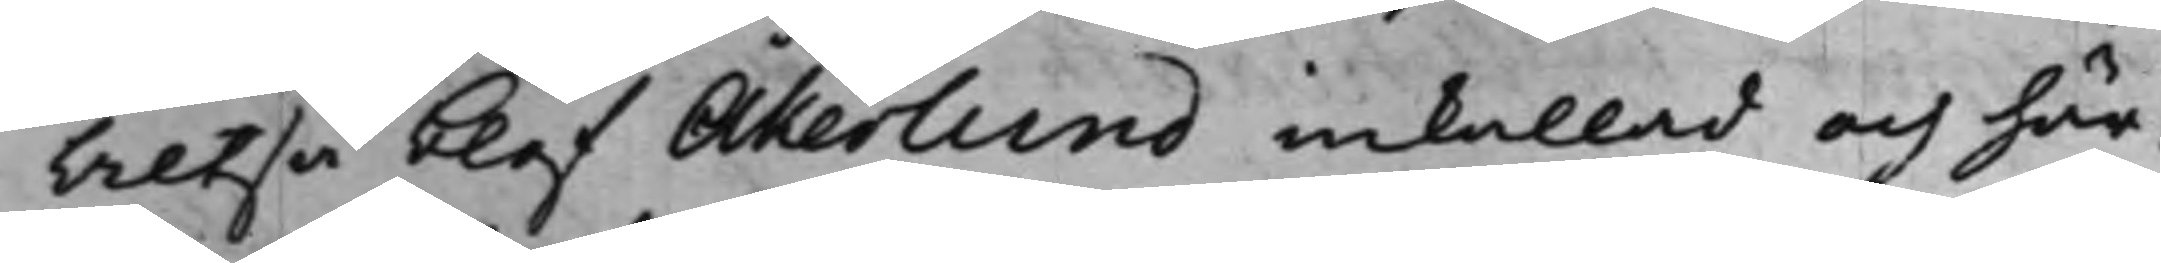Altså blef Åkerlund inkallad och här¬
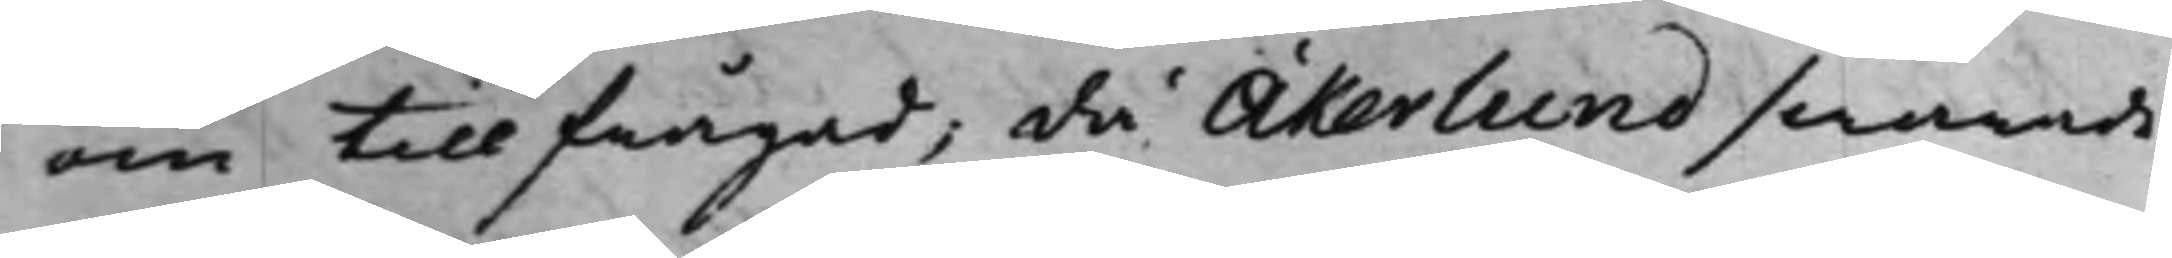om tillfrågad; då Åkerlund swarade
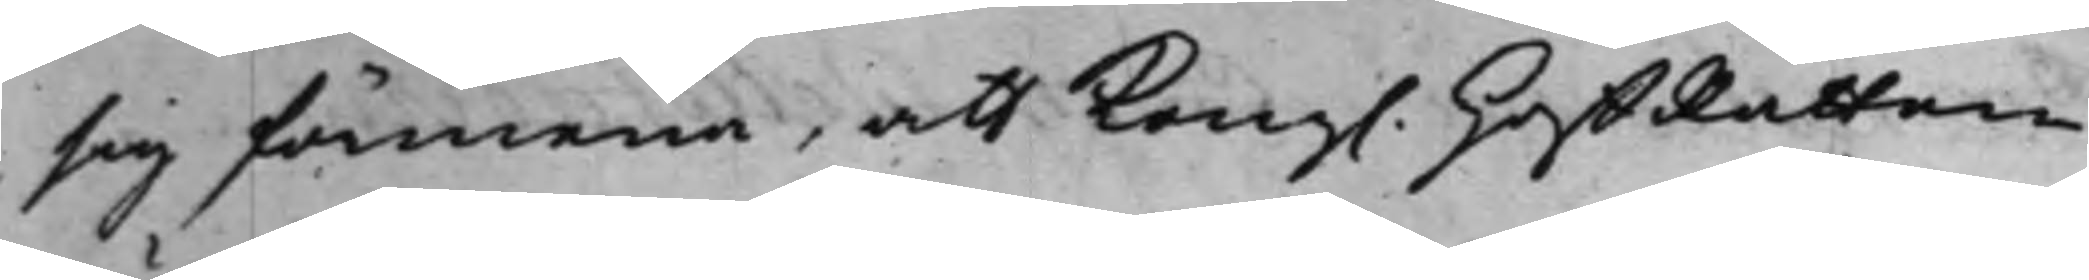sig förmena, att Kong. HoffRätten
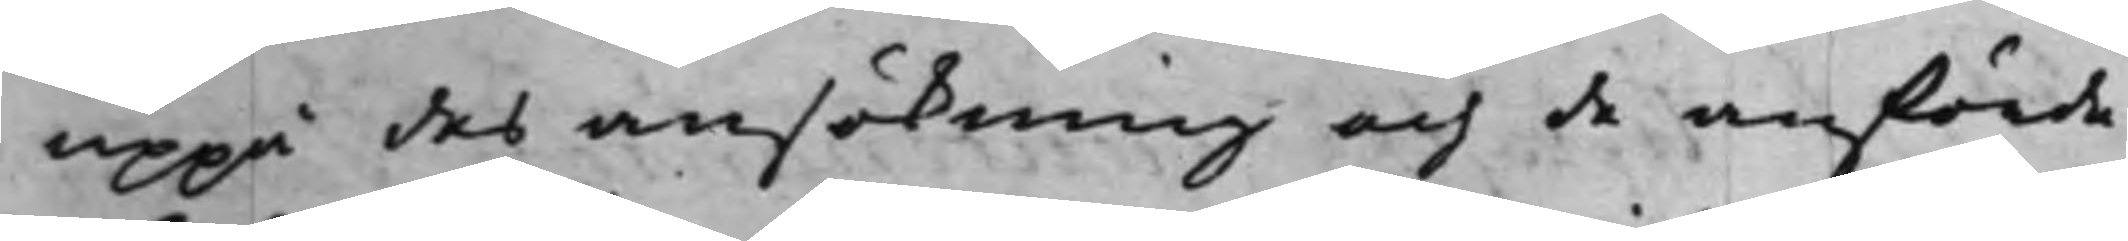uppå des ansökning och de anförde
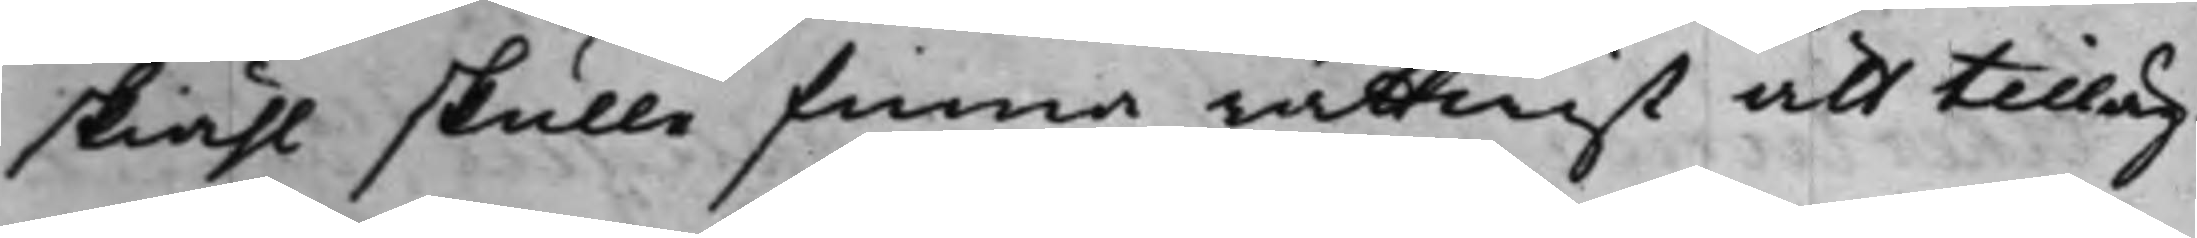skiähl skulle finna rättwist att tilläg¬
